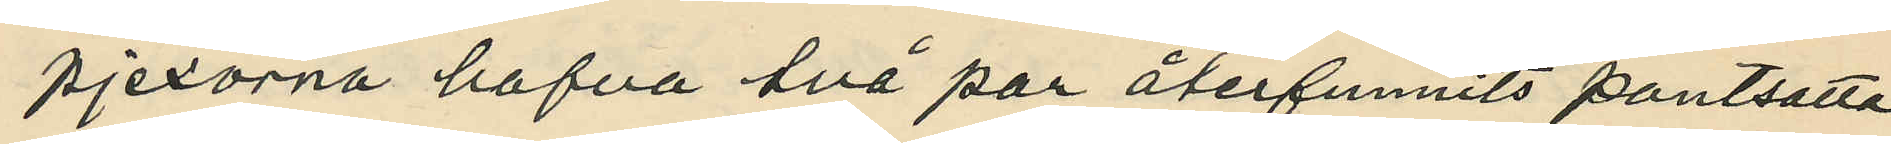pjexorna hafva två par återfunnits pantsatta
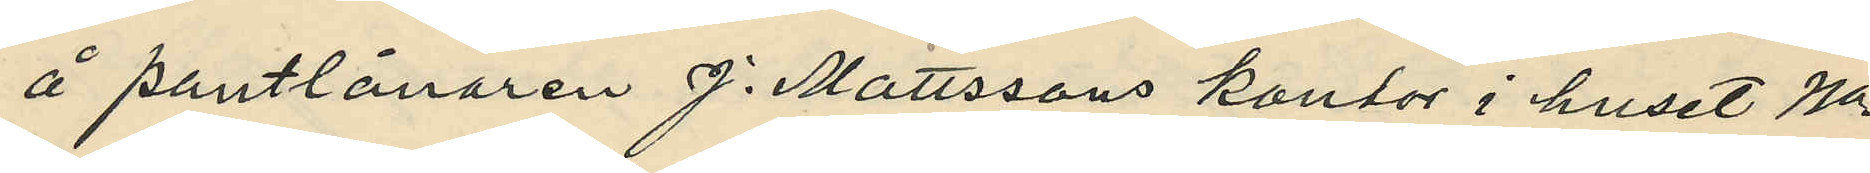å pantlånaren J. Mattssons kontor i huset No
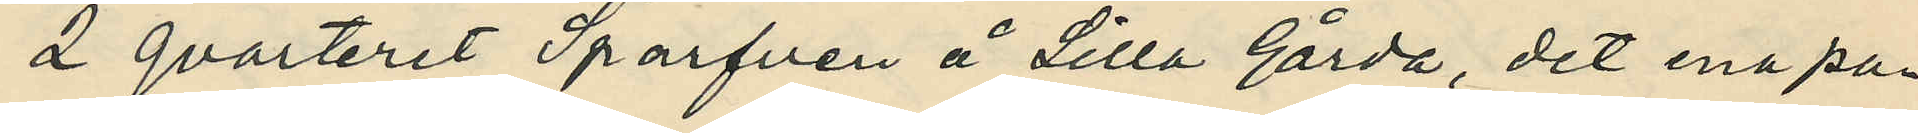2 qvarteret Sparfven å Lilla Gårda, det ena pa¬
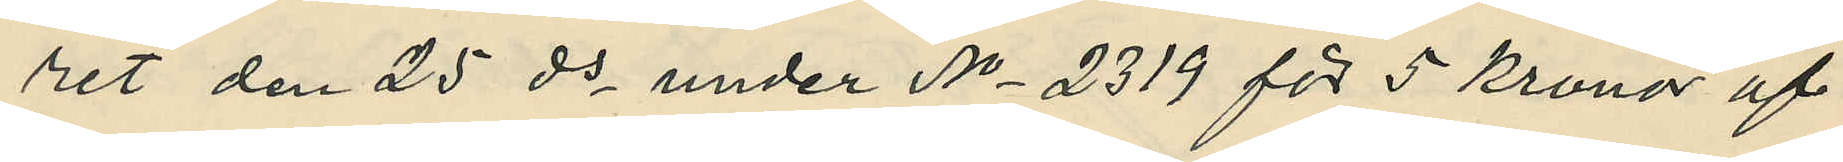ret den 25 ds under No 2319 för 5 kronor af
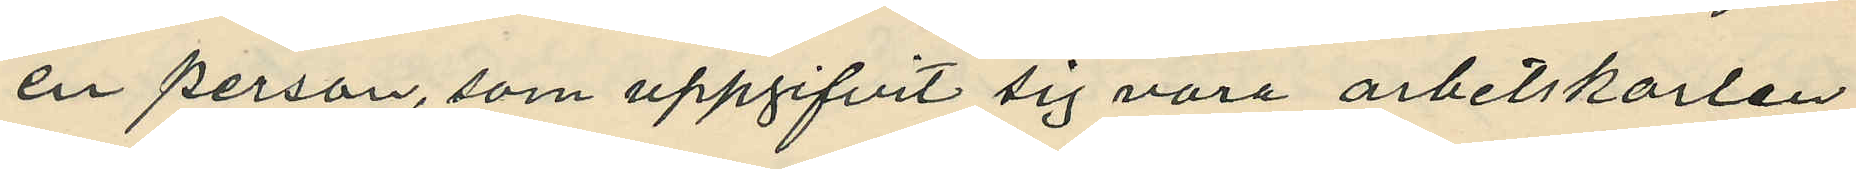en person, som uppgifvit sig vara arbetskarlen
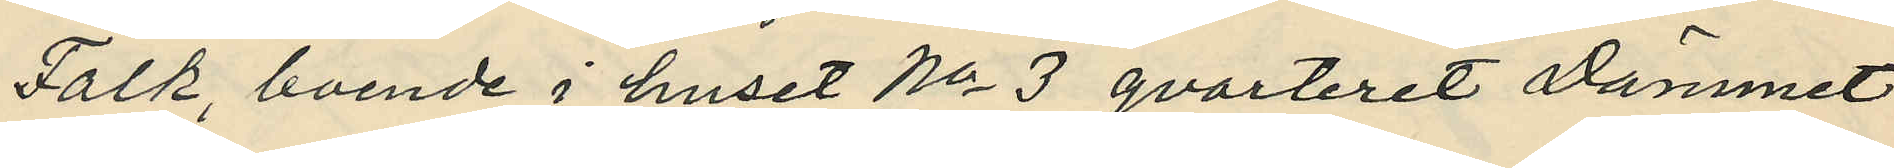Falk, boende i huset No 3 qvarteret Dämmet
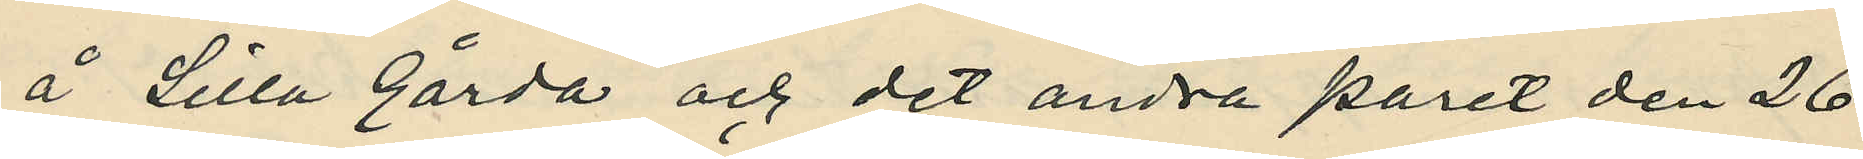å Lilla Gårda och det andra paret den 26
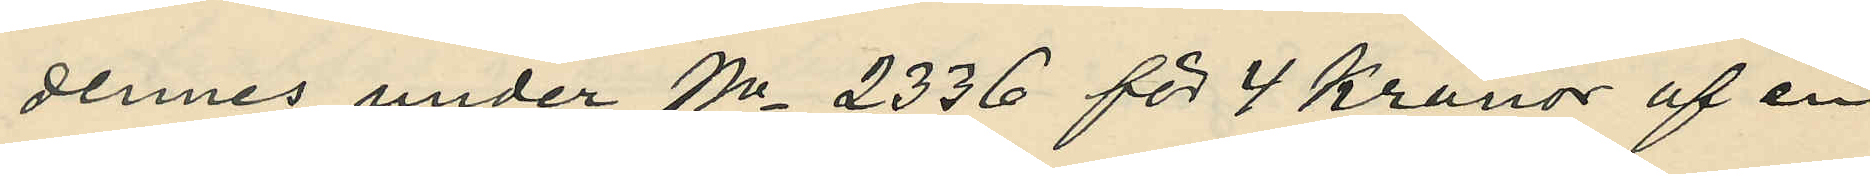dennes under No 2336 för 4 Kronor af en
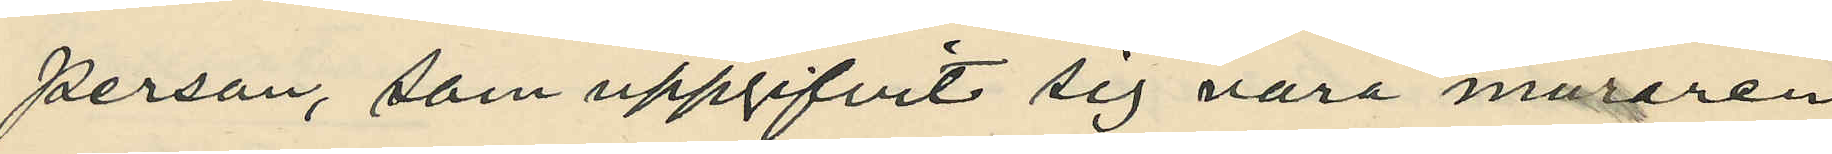person, som uppgifvit sig vara muraren
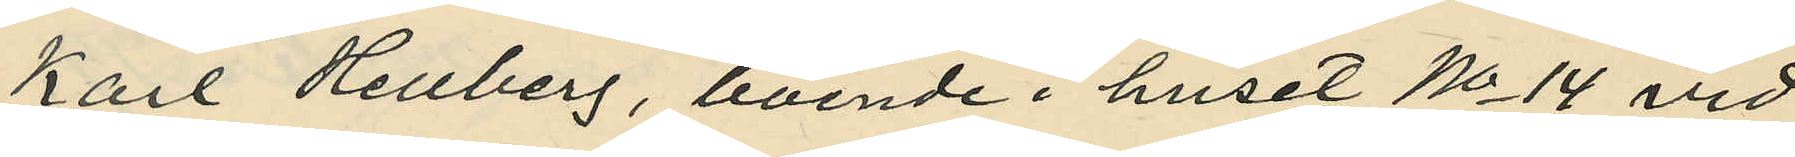Karl Hellberg, boende i huset No 14 vid
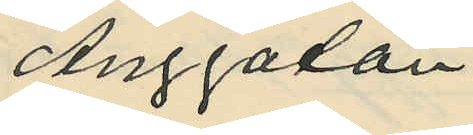Änggatan.
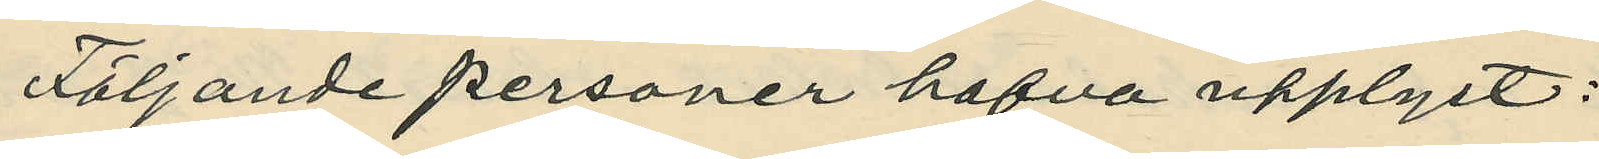Följande personer hafva upplyst:
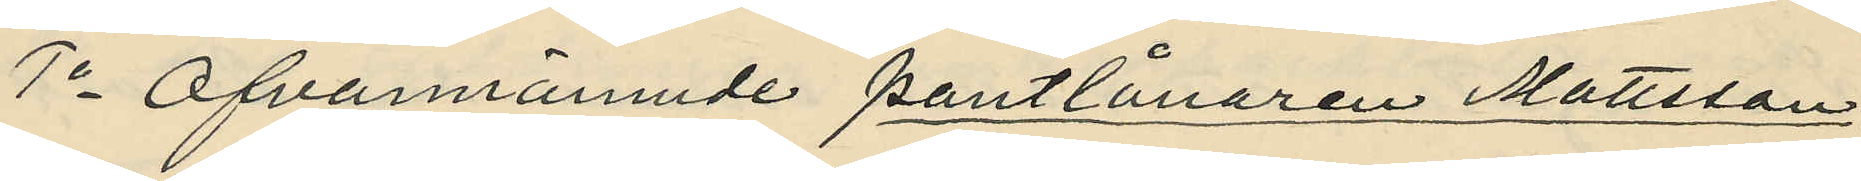1o Ofvannämnde pantlånaren Mattsson:
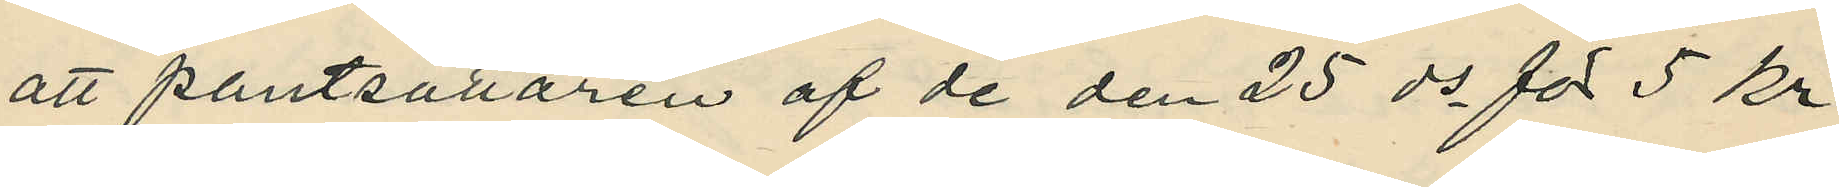att pantsättaren af de den 25 ds för 5 kr.
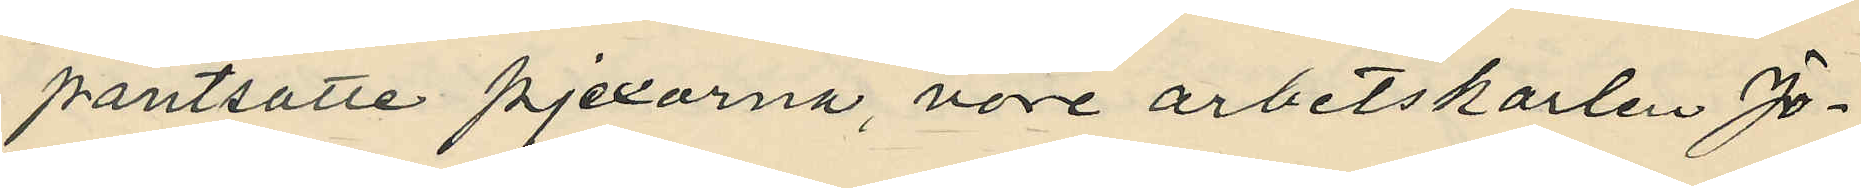pantsatte pjexorna, vore arbetskarlen Jo¬
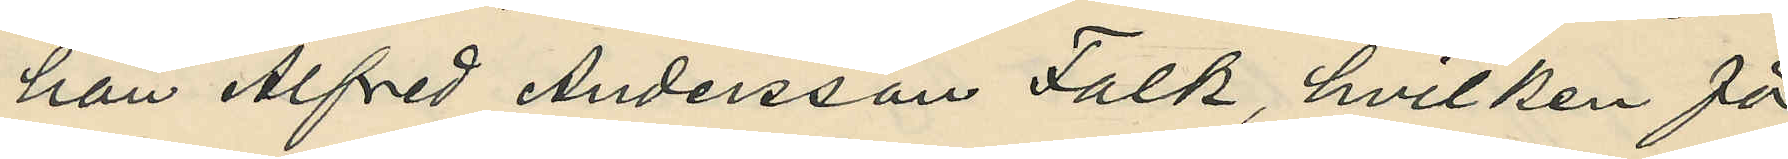han Alfred Andersson Falk, hvilken för
